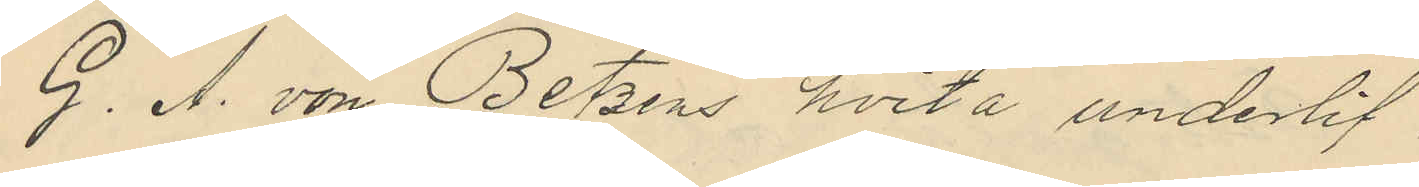G. A. von Betzens hvita underlif
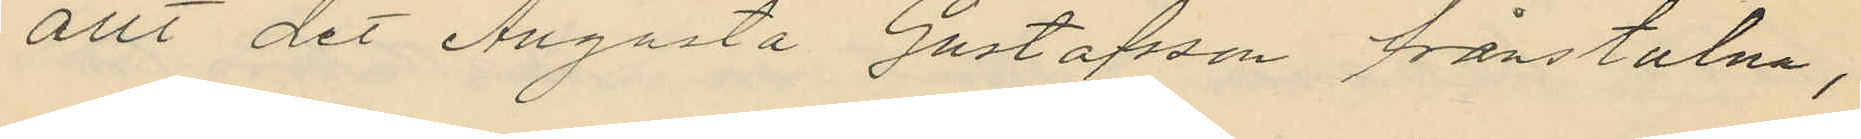allt det Augusta Gustafsson frånstulna,
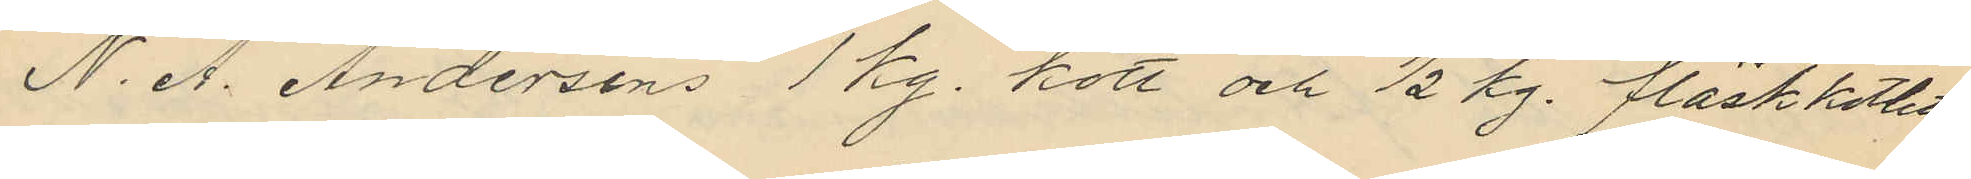N. A. Andersons 1 kg. kött och 1/2 kg. fläskkotlett,
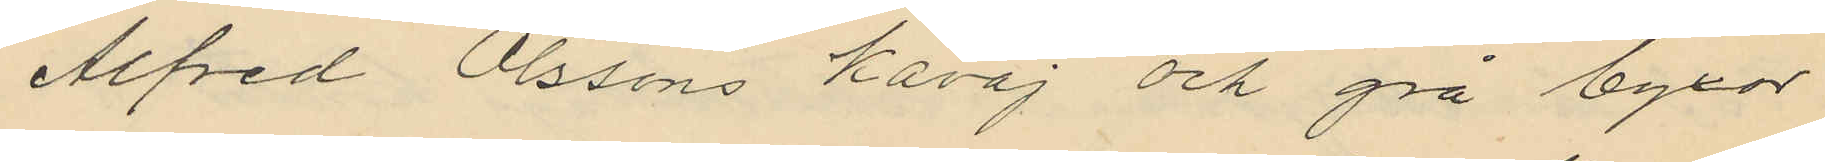Alfred Olssons kavaj och grå byxor
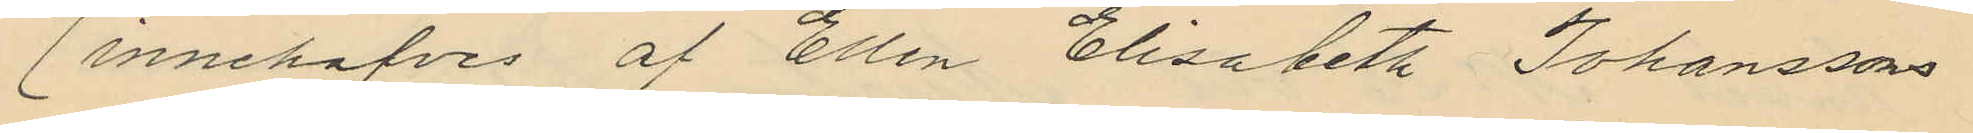(innehafves af Ellen Elisabeth Johanssons
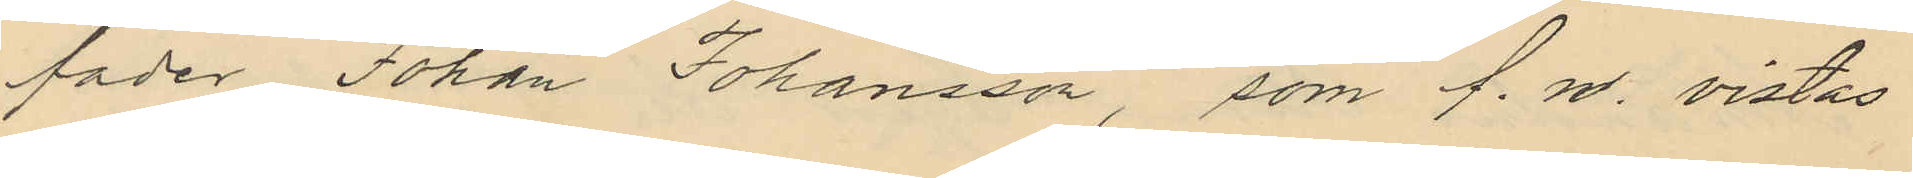fader Johan Johansson, som f. n. vistas
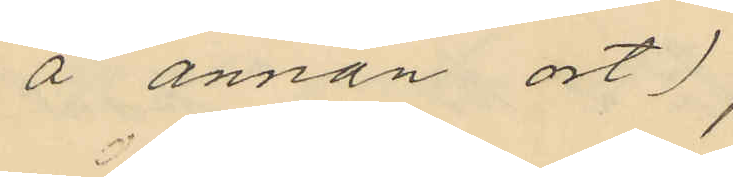å annan ort),
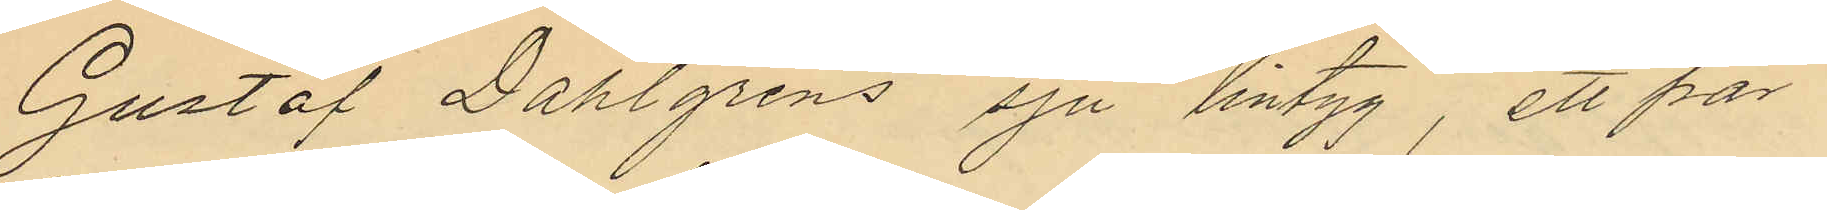Gustaf Dahlgrens sju lintyg, ett par
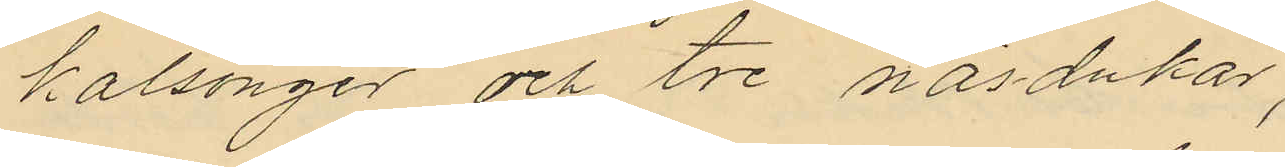kalsonger och tre näsdukar,
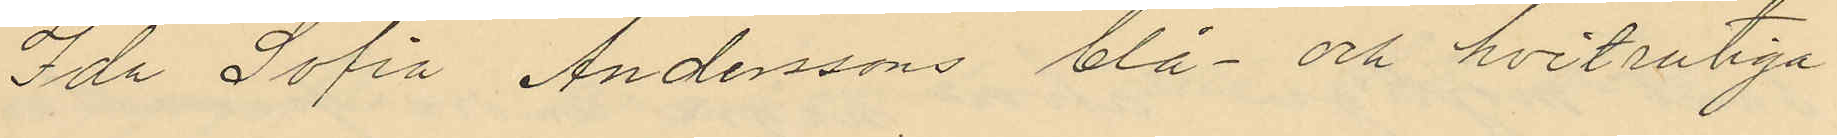Ida Sofia Anderssons blå- och hvitrutiga
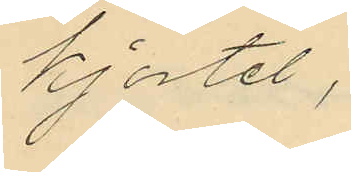kjortel,
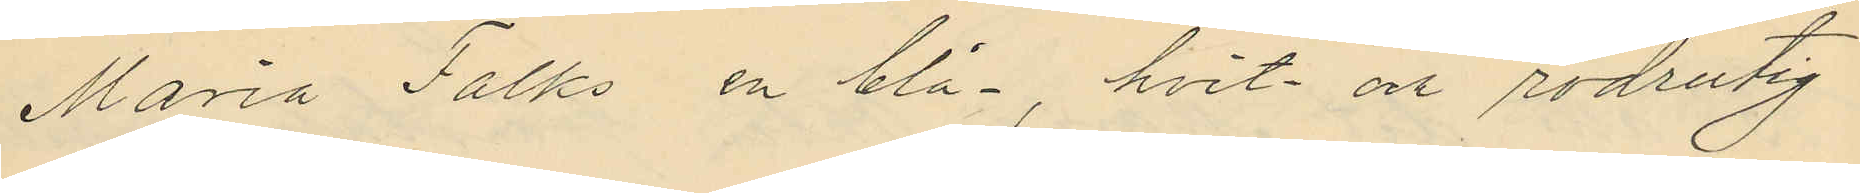Maria Falks en blå-, hvit och rödrutig
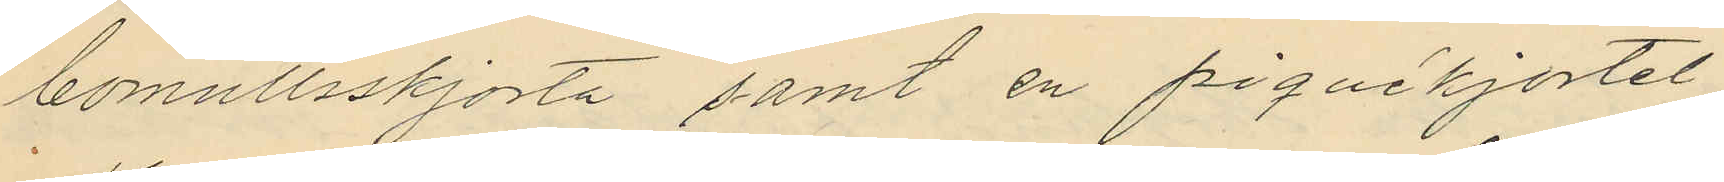bomullsskjorta samt en piquékjortel
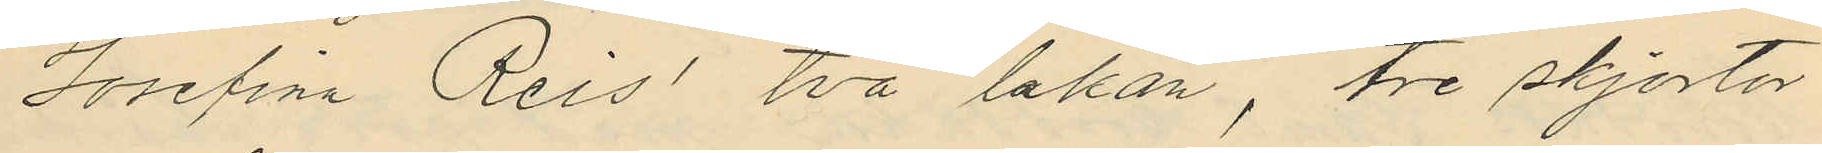Josefin Reis´, två lakan, tre skjortor
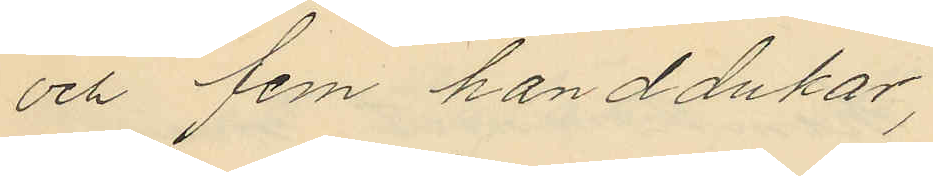och fem handdukar,
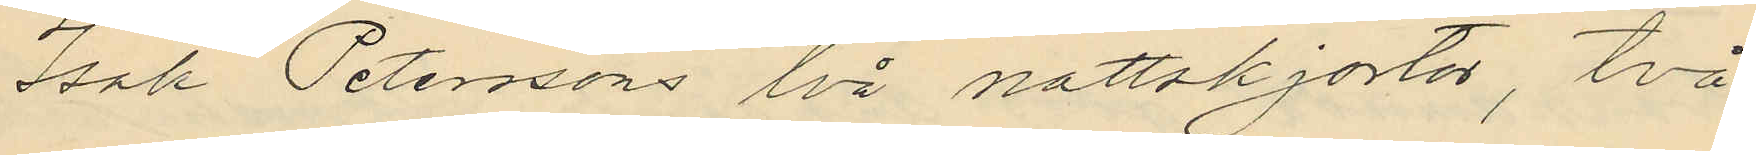Isak Peterssons två nattskjortor, två
